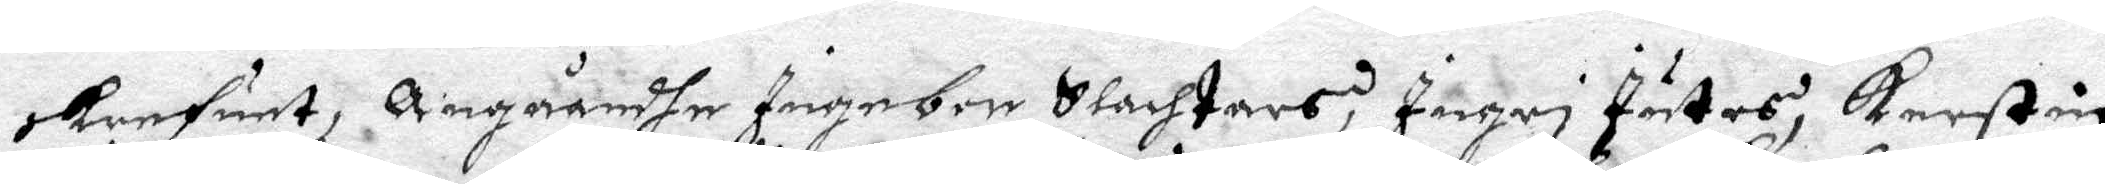skrefuet, Angåendhe Ingebor Slachtars, Ingri Jutes, Kerstin
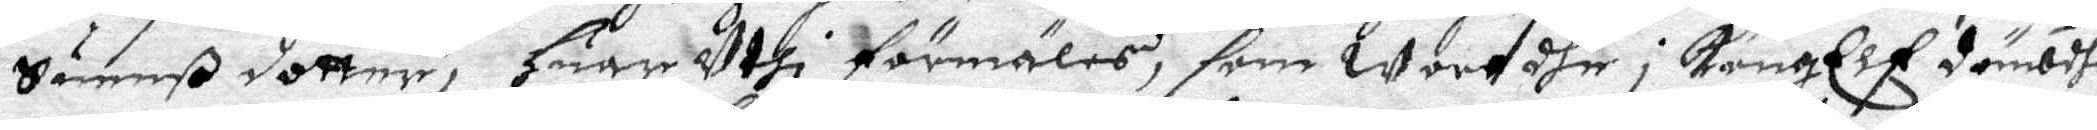Suenßdotter, huar Uthi förmäles, som wore dhe i KongElf dömbdhe
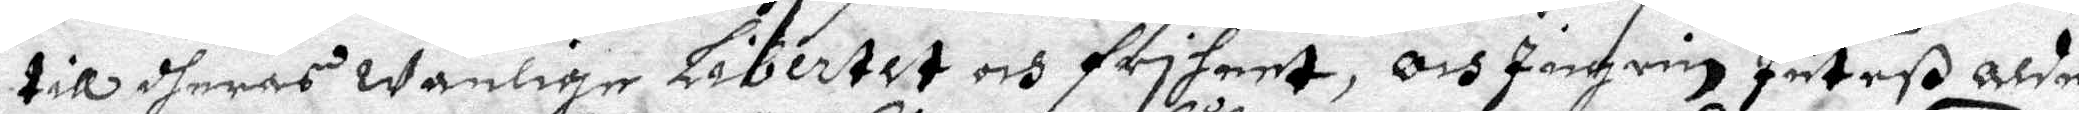till dheras wanlige Libertet och friheet, Och Ingrin Juteß alde¬
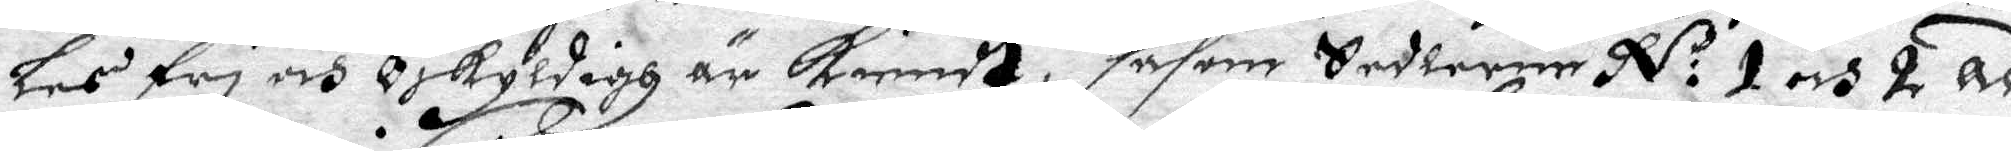les fri och Oskyldigh är kiendt, såsom Sedlerne N:o 1 och 2 ad
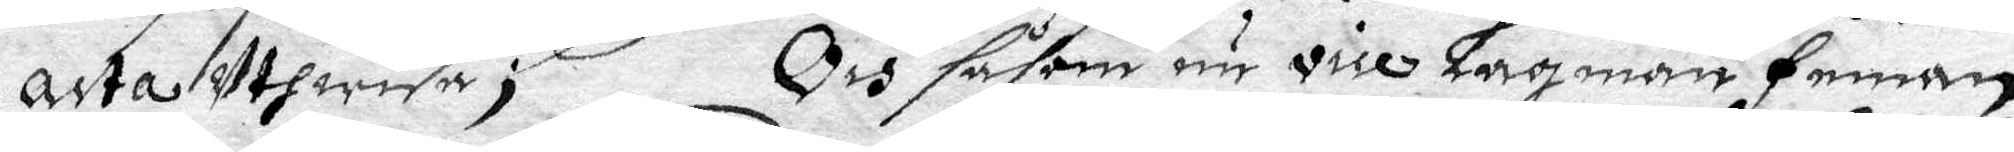acta Uthwisa; Och såsom nu vice Lagman Feman
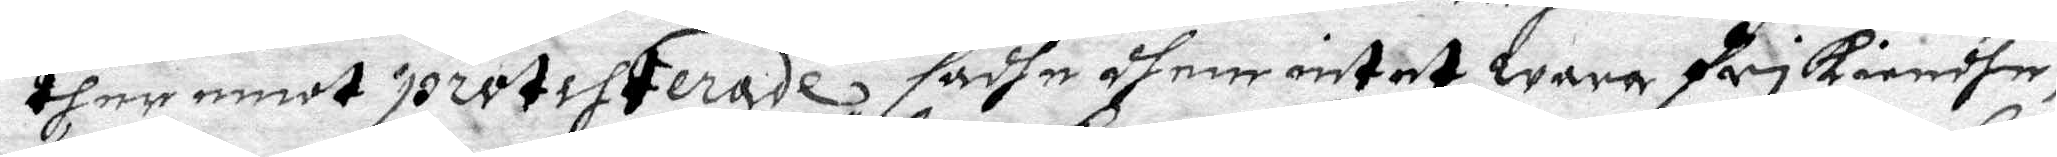ther emot protesterade sadhe dhem intet wara frikiendhe,
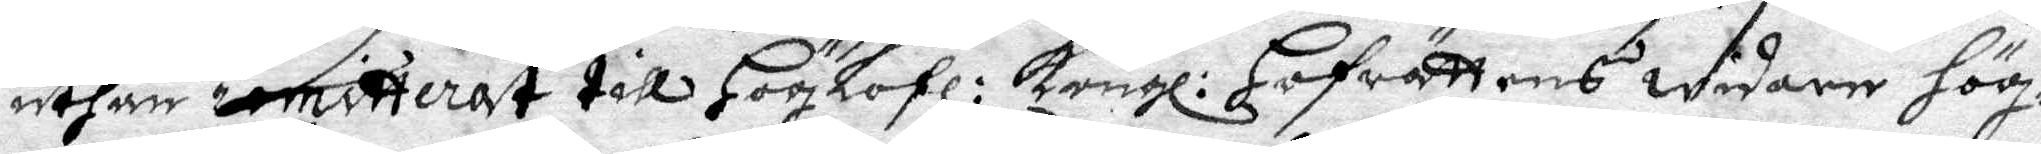uthan remitterat till HögLofl: Kongl: Hofrättens widare hög¬
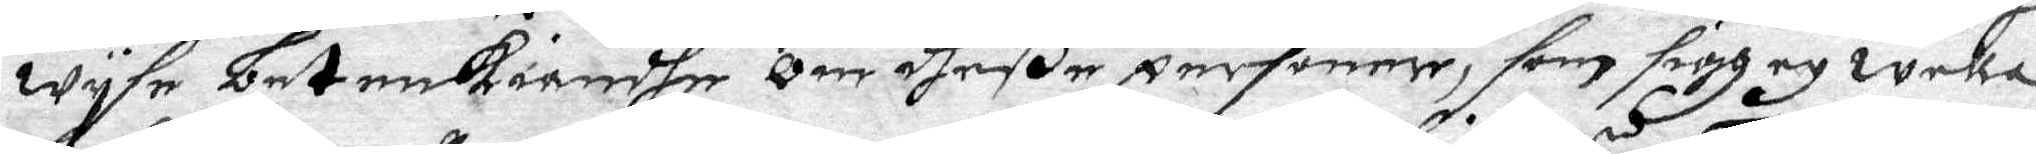wysa betenkiandhe om dheße personer, som sigh ey wella
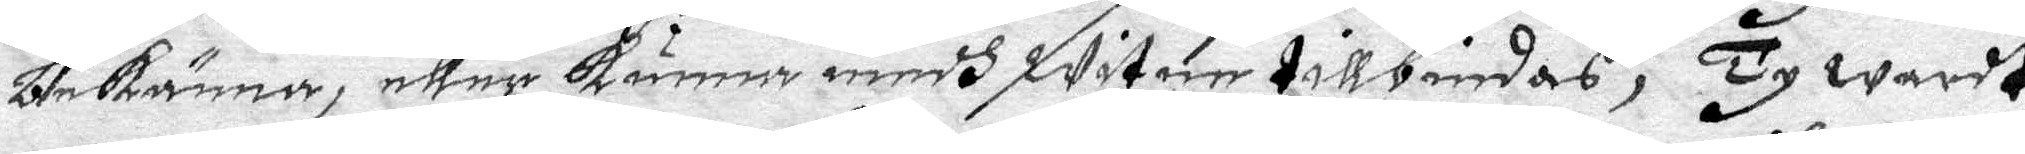bekänna, eller kunna medh witnen tillbindas, Ty wardt
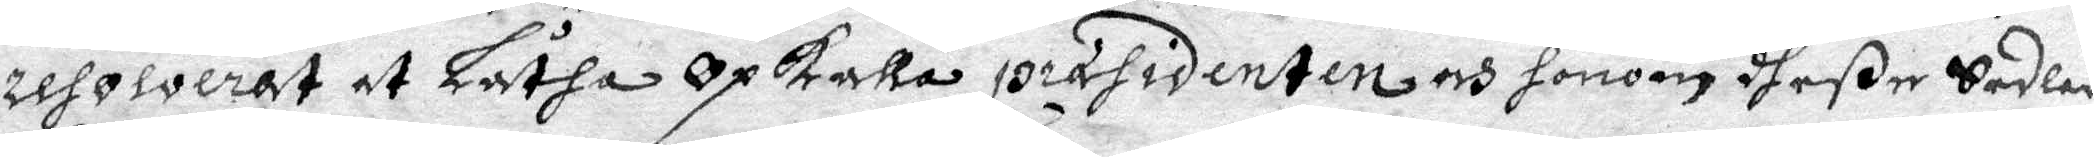resolverat at Låtha Opkalla presidenten och honom dheße Sedlar
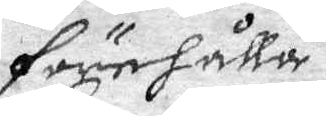förehålla,
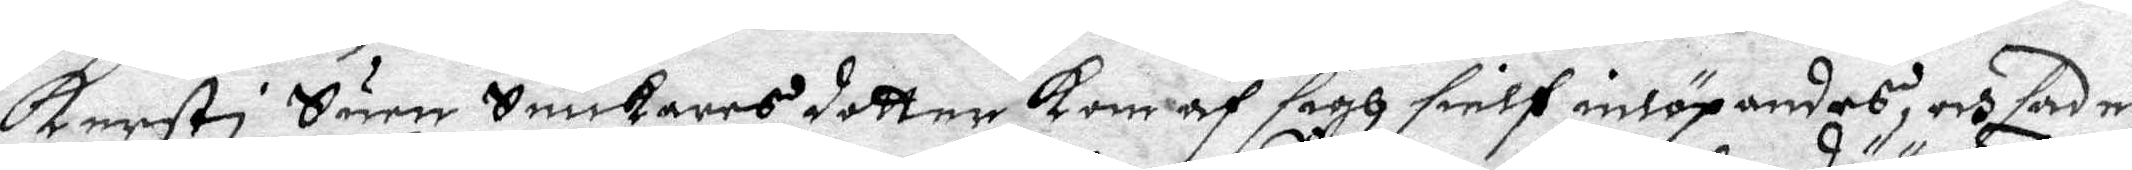Kersti Suen Snickares dotter kom af sigh sielf inlöpandes och sade,
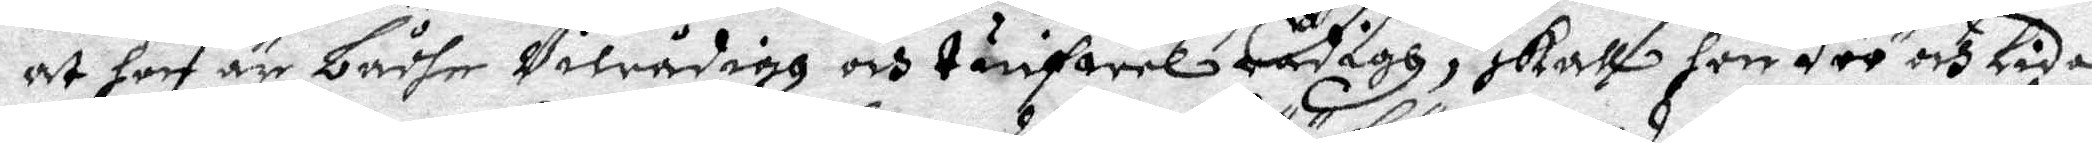at hon är bådhe Vilrådigh och tuifwelrådigh, skall hon döö och Lida
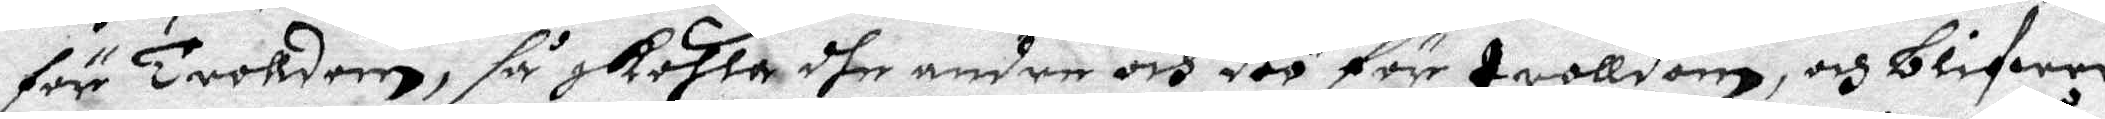för trolldom, så skohla dhe andre och döö för trolldom, och blifwer
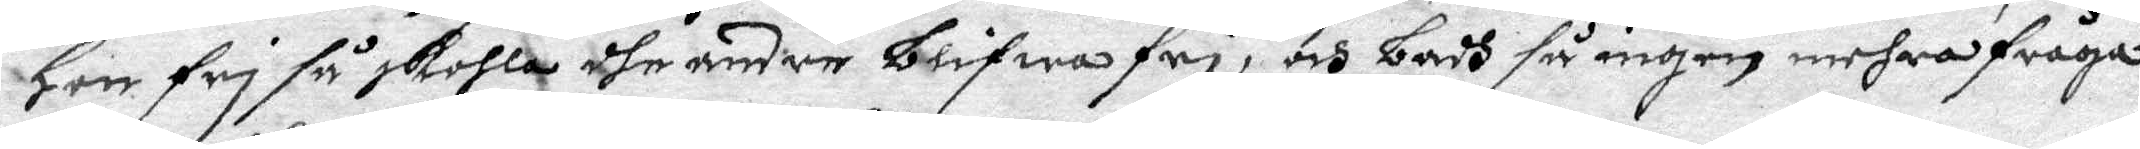hon fri så skohla dhe andre blifwa fri, och badh så ingen mehra fråga
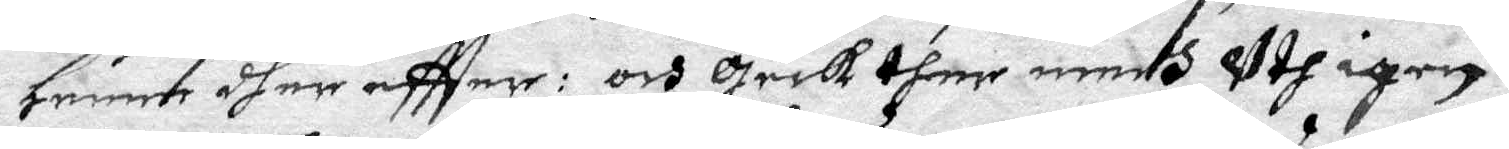henne dher eftter: och geck ther medh Uth igen.
